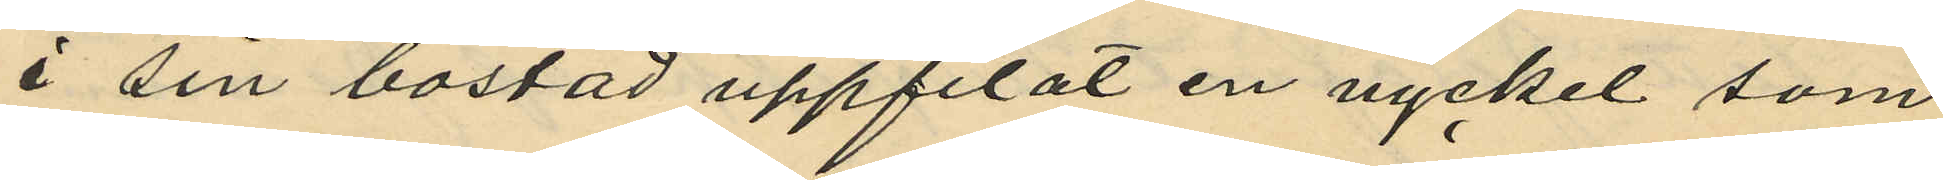i sin bostad uppfilat en nyckel som
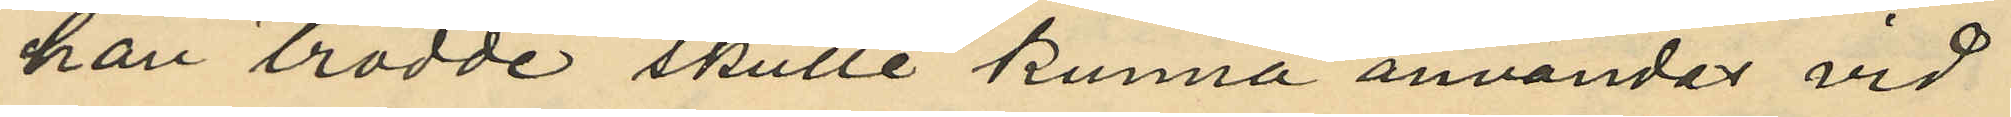han trodde skulle kunna användas vid
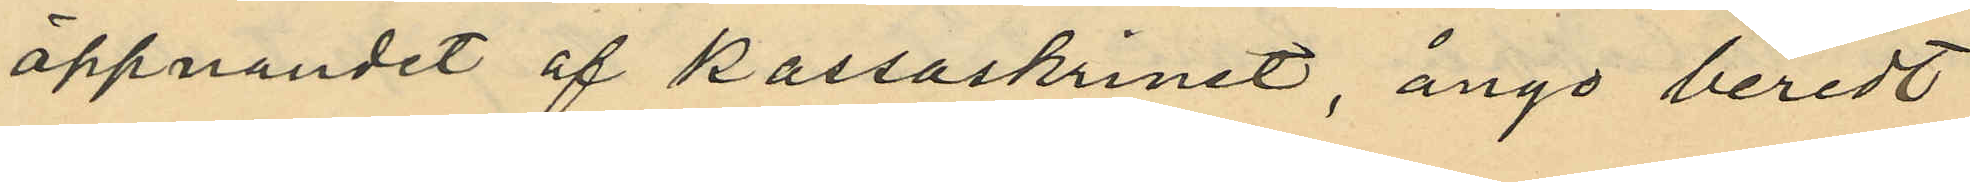öppnandet af kassaskrinet, ånyo beredt
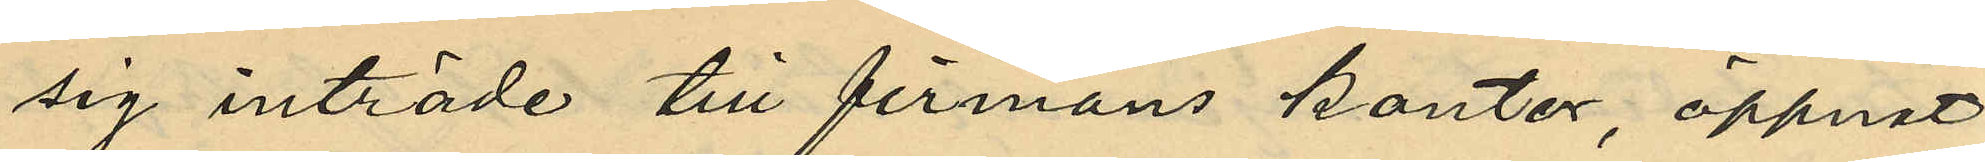sig inträde till firmans kontor, öppnat
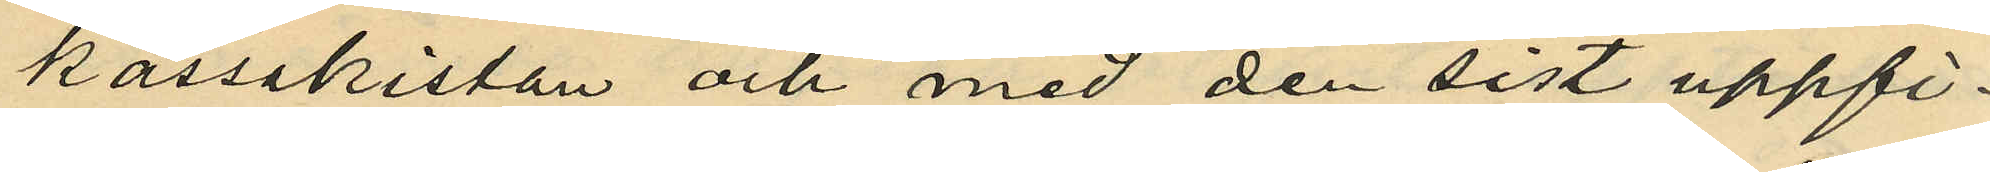kassakistan och med den sist uppfi¬
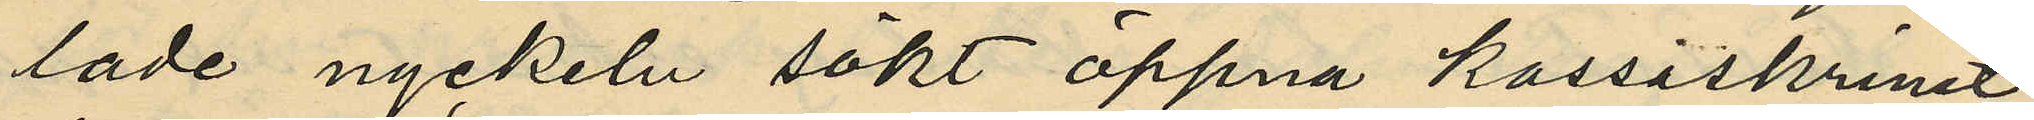lade nyckeln sökt öppna kassaskrinet,
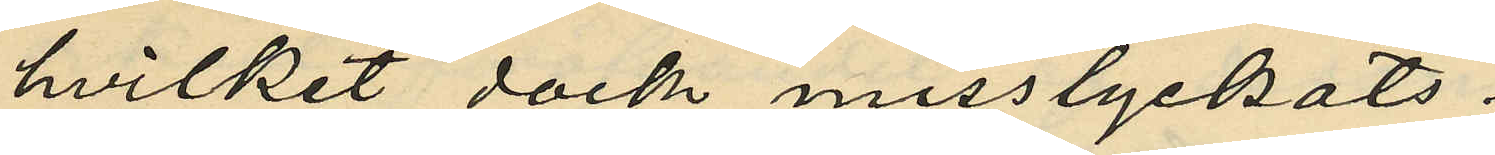hvilket dock misslyckats;
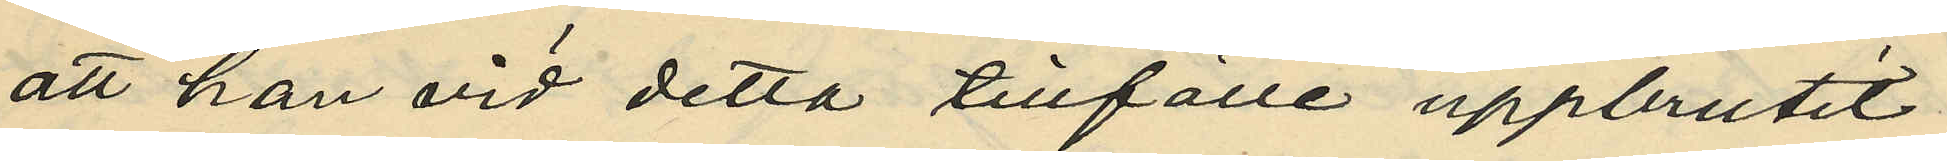att han vid detta tillfälle uppbrutit
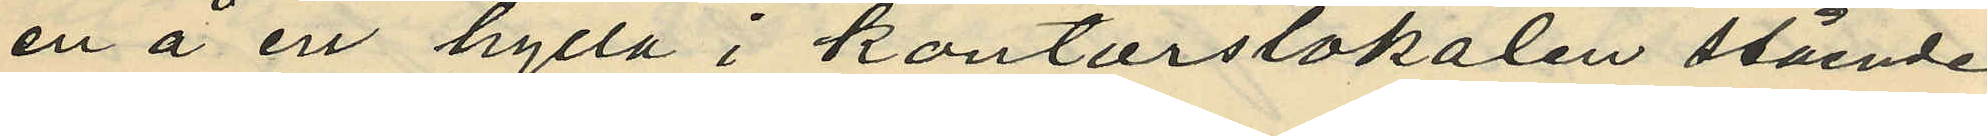en å en hylla i kontorslokalen stående
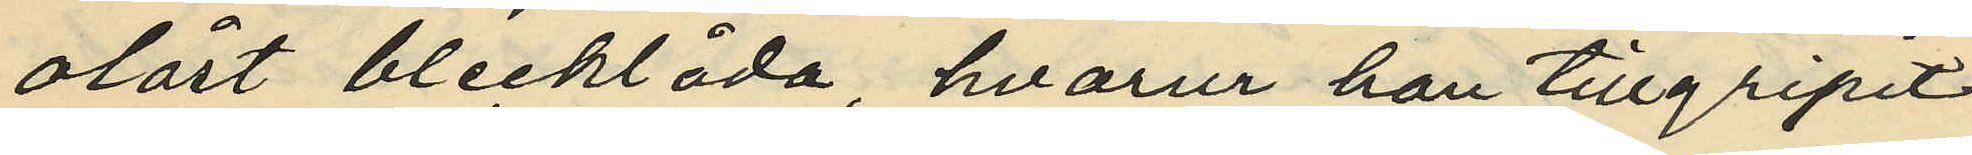olåst blecklåda, hvarur han tillgripit
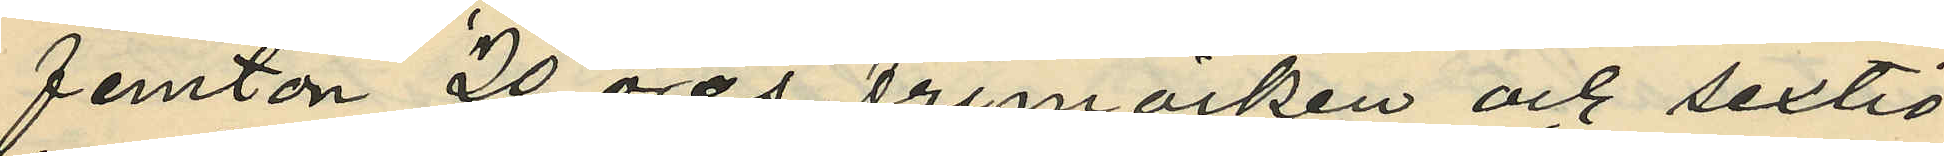femton 20 öres frimärken och sextio
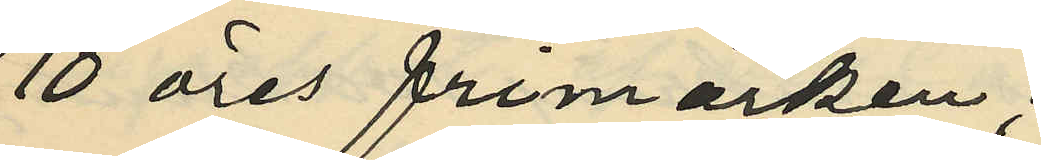10 öres frimärken;
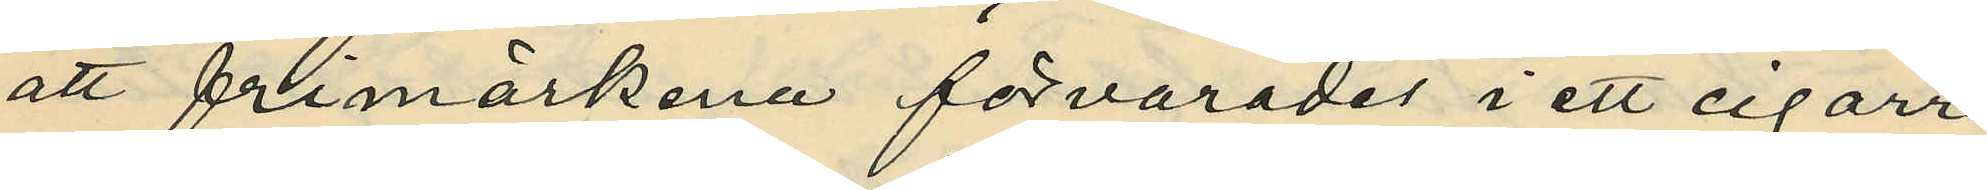att frimärkena förvarades i ett cigarr¬
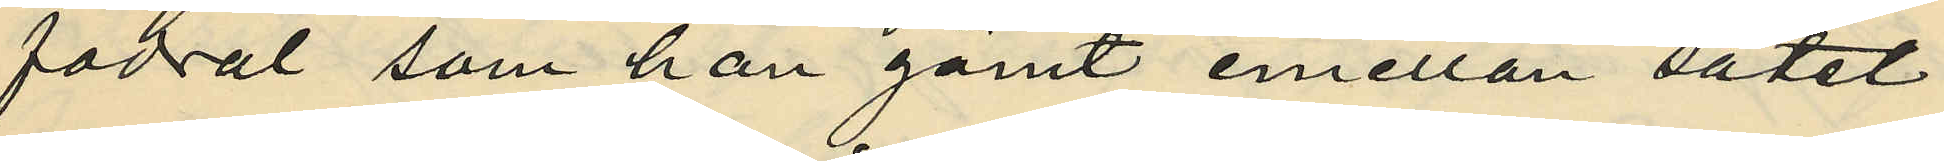fodral som han gömt emellan sätet
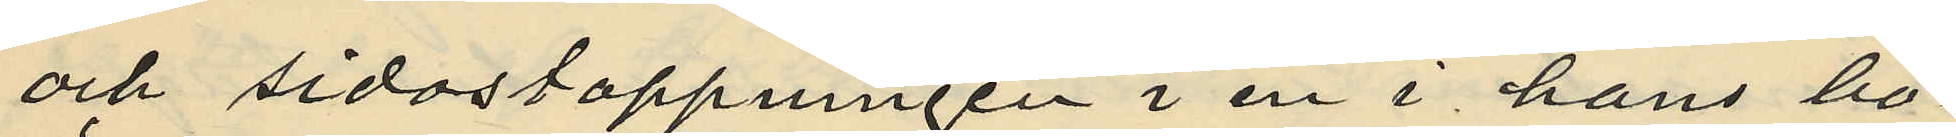och sidostoppningen i en i hans bo¬
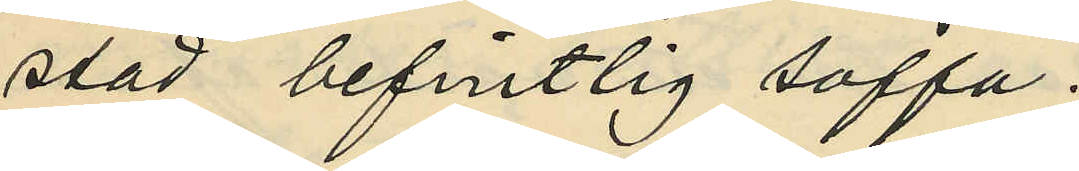stad befintlig soffa;
